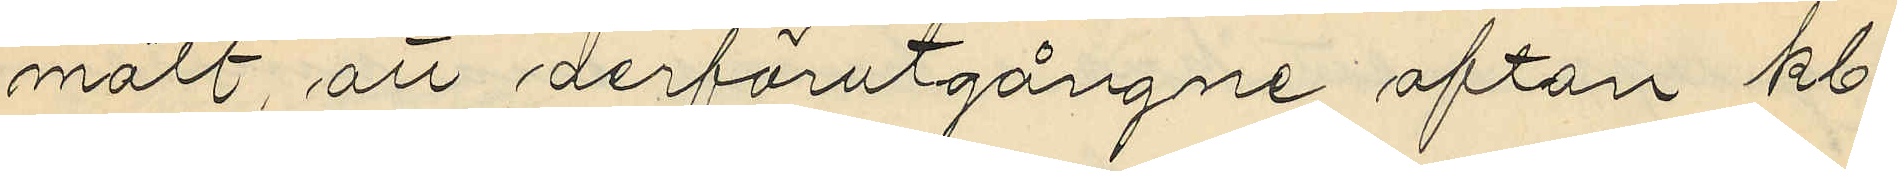mält, att derförutgångne afton kl.
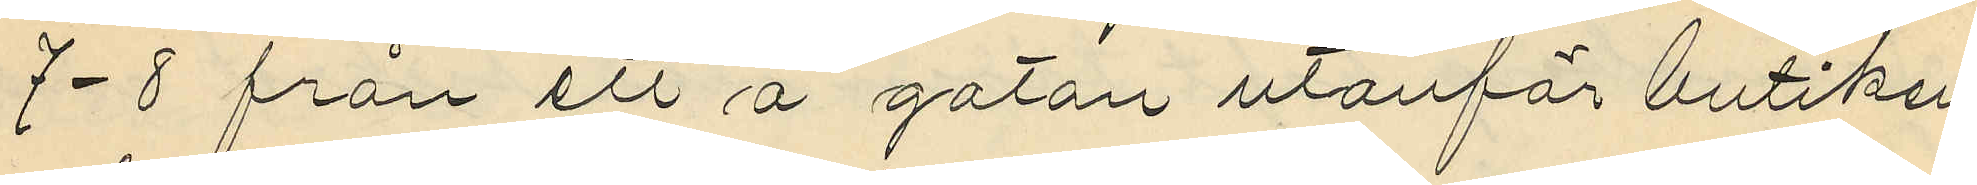7-8 från ett å gatan utanför butiken
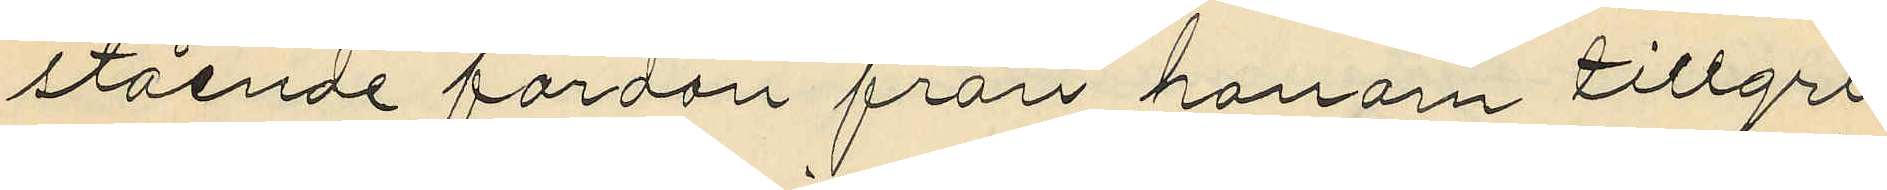stående fordan från honom tillgri¬
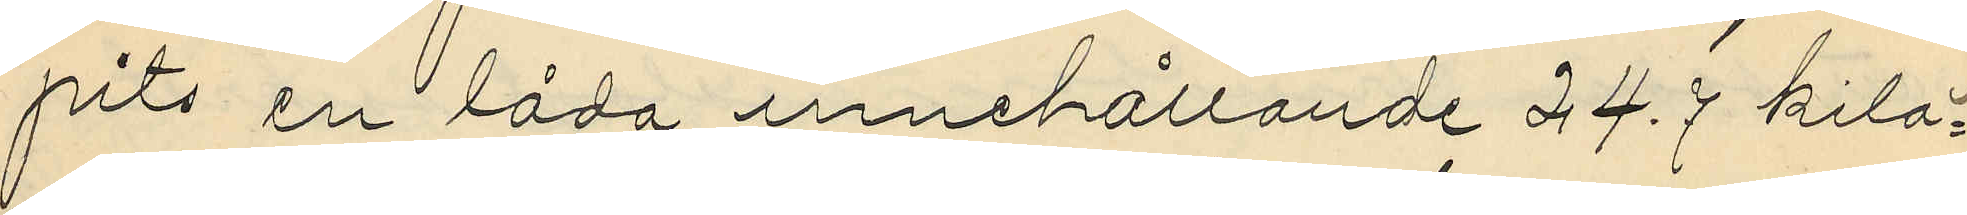pits en låda innehållande 24.7 kilo¬
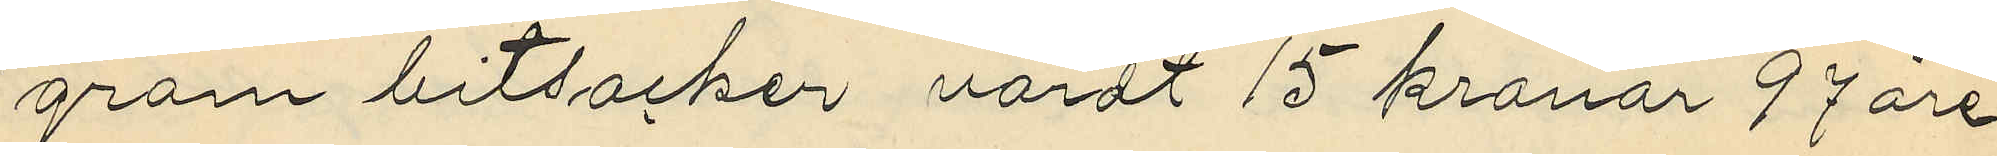gram bitsocker, värdt 15 kronor 97 öre.
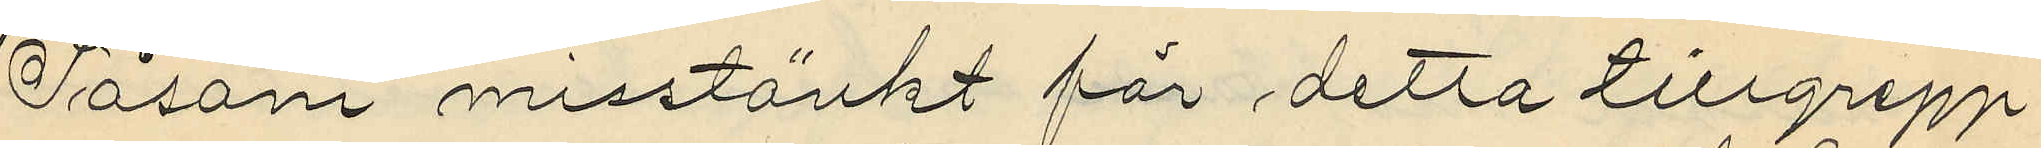Såsom misstänkt för detta tillgrepp
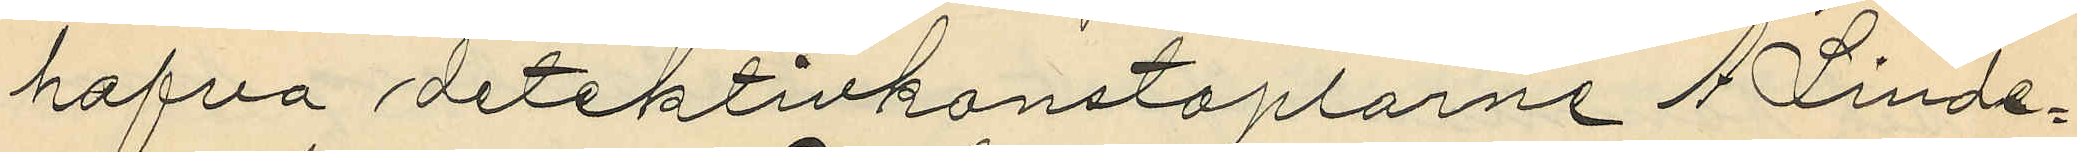hafva detektivkonstaplarne A. Linde¬
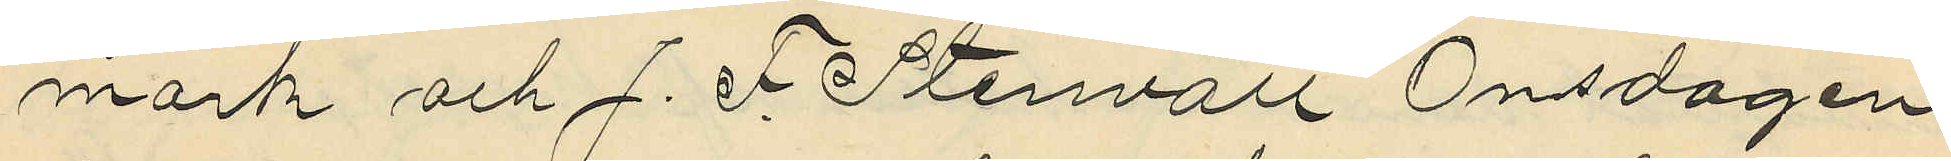mark och J. F. Stenvall Onsdagen
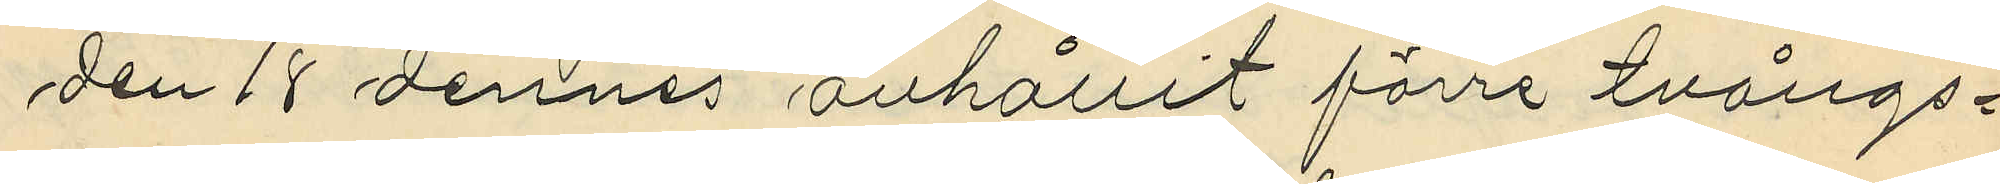den 18 dennes anhållit förre tvångs¬
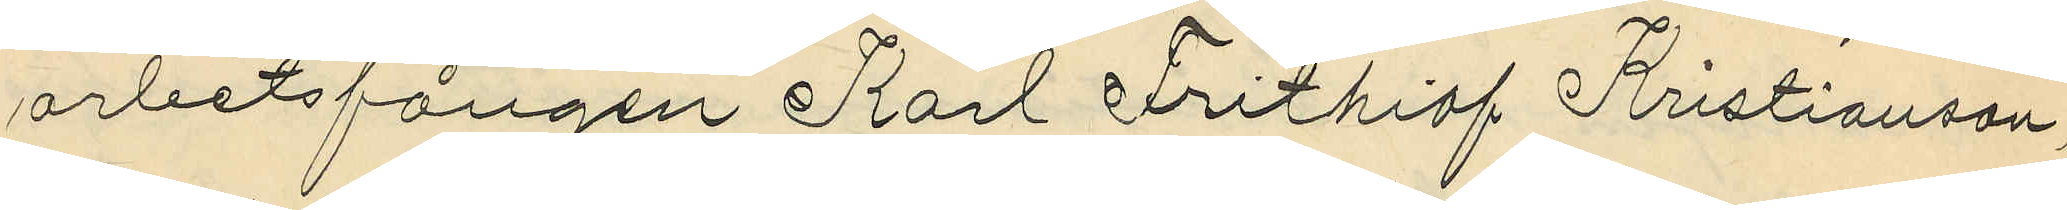arbetsfången Karl Frithiof Kristianson,
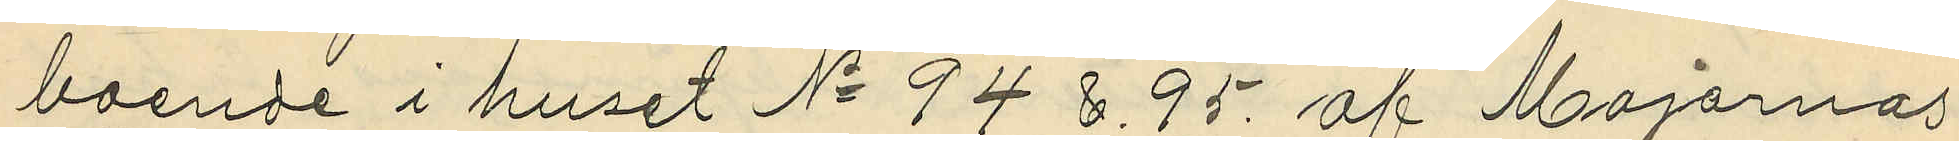boende i huset No 94 & 95. af Majornas
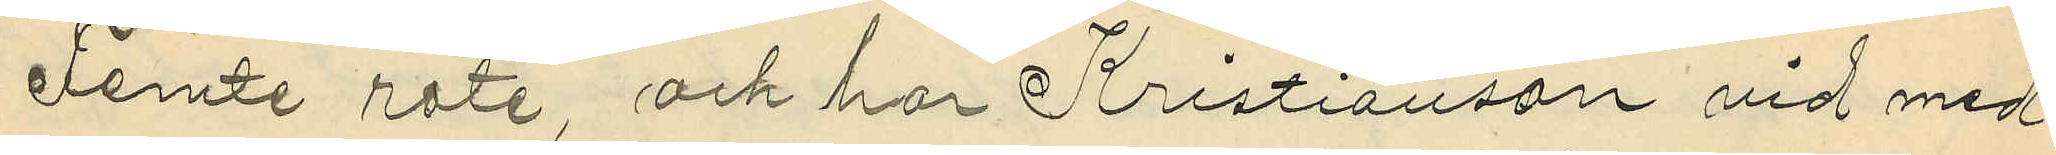Femte rote, och har Kristianson vid med
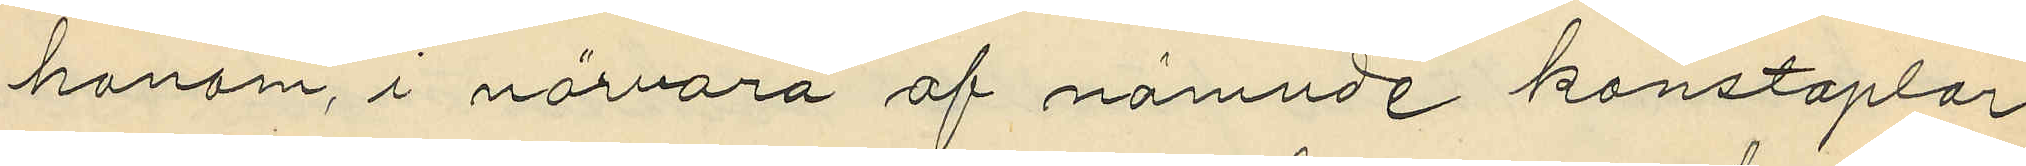honom, i närvaro af nämnde konstaplar
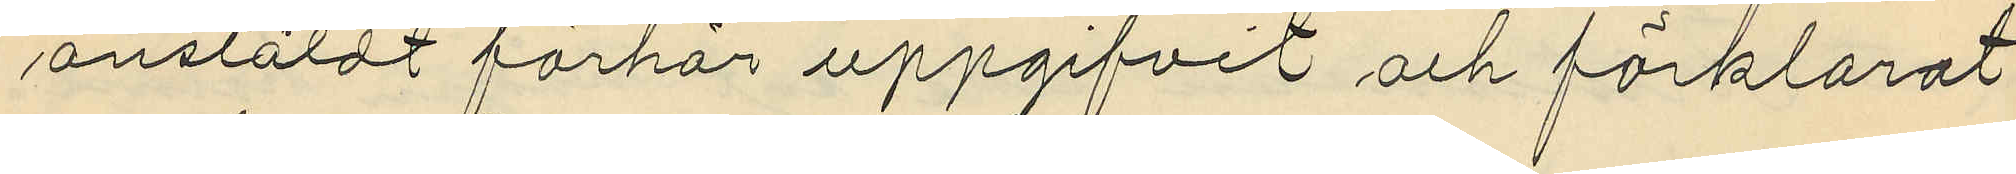anstäldt förhör uppgifvit och förklarat
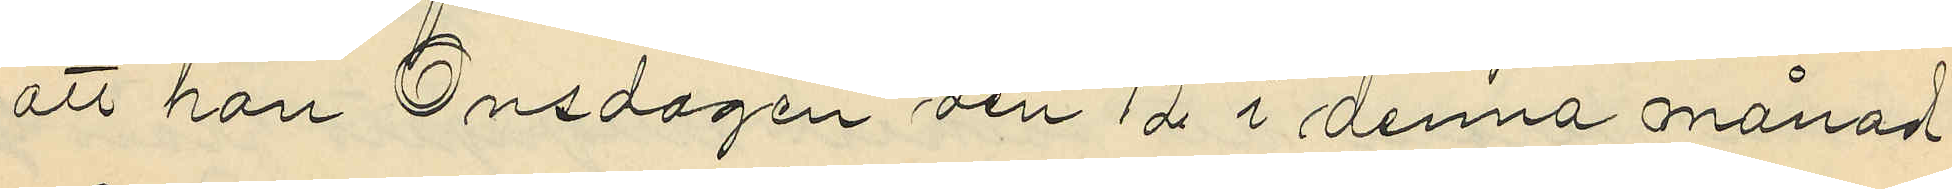att han Onsdagen den 12 i denna månad
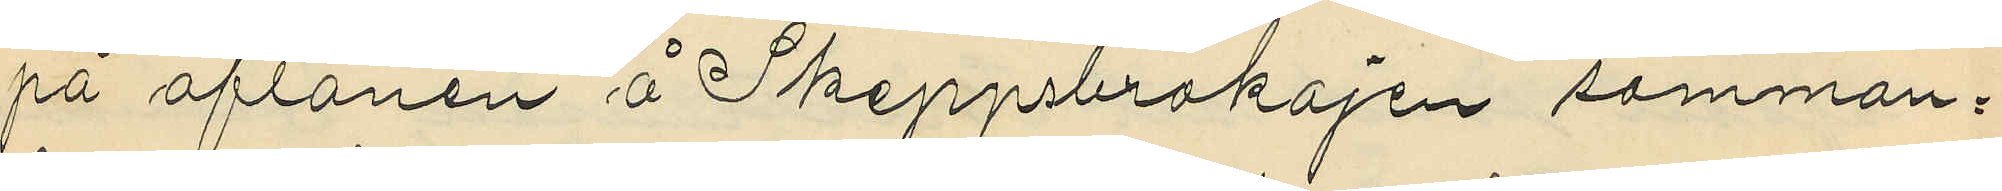på aftonen å Skeppsbrokajen samman¬
